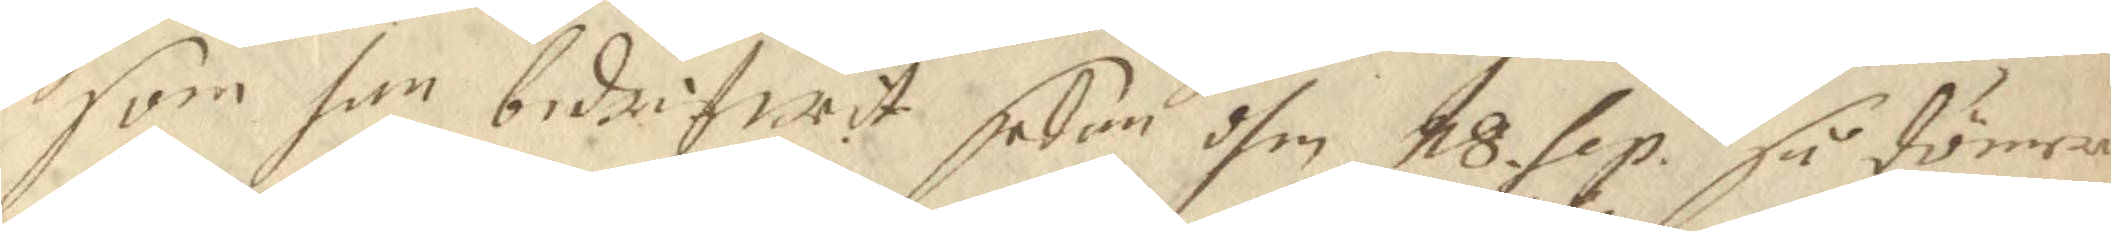som han bedrifwit sedan dhen 18 sep. så dömer 
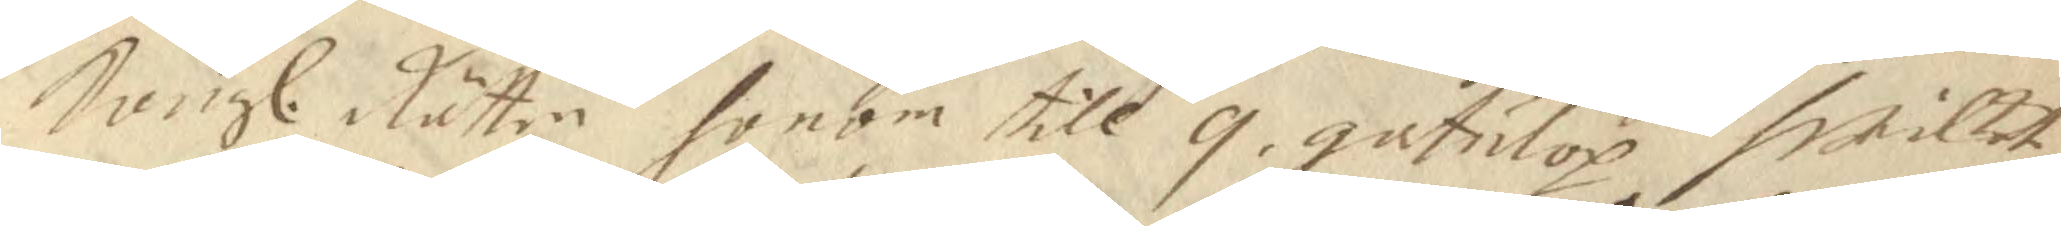Kongl. Rätten honom till 9 gatulop hwilket
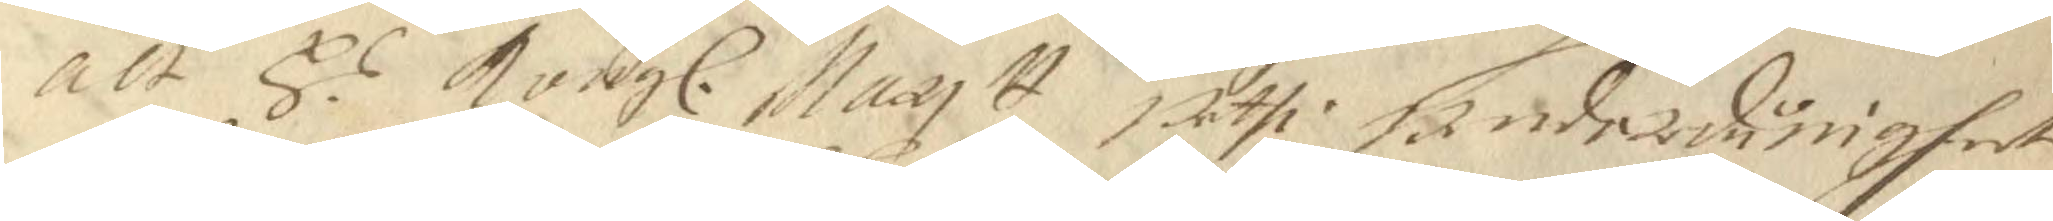alt H.s Kongl. Maytt uthi underdånigheet 
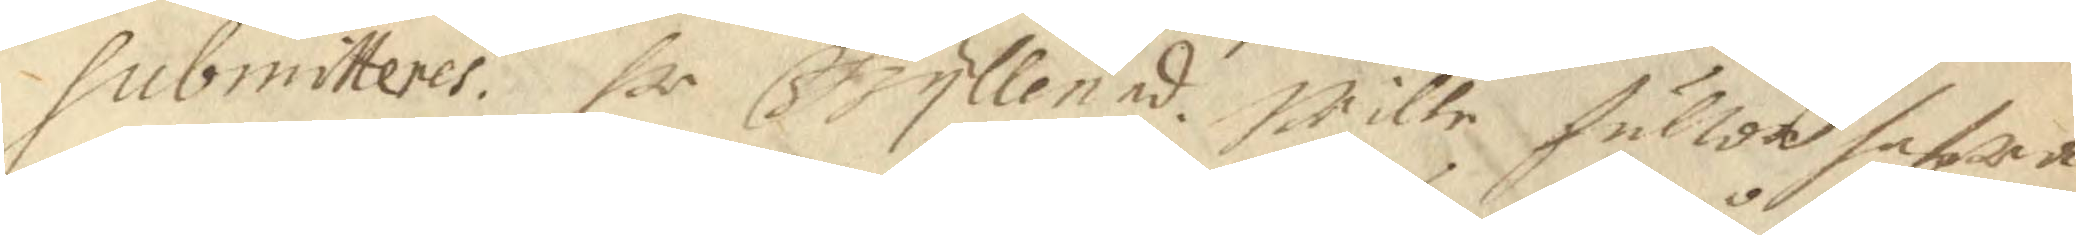Submitteres. hr Gyllenad. Wille fullor hafwa 
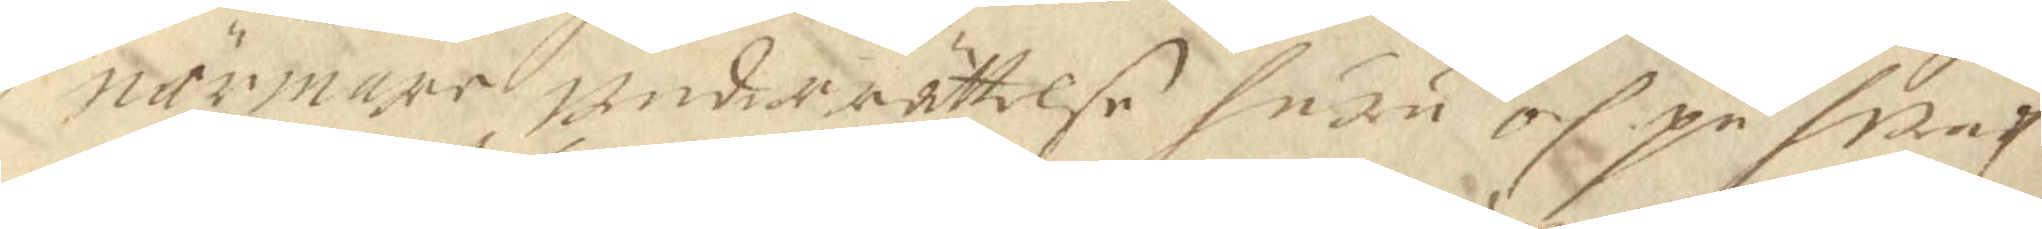närmare underrättelse huru och på hwadh
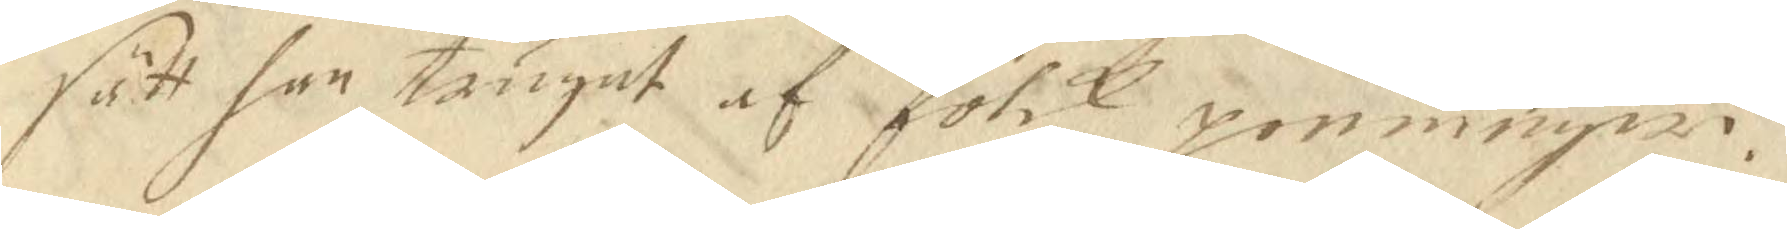sätt han trugat af folck penningar.
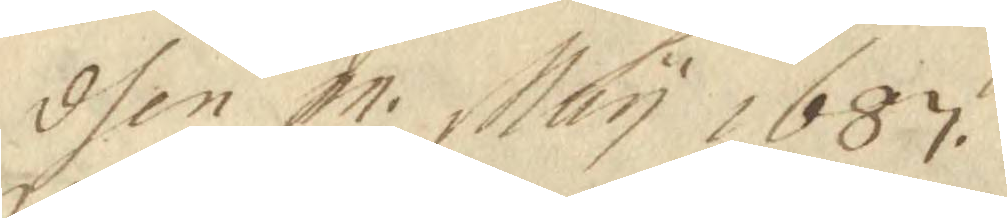dhen 11 May 1687.
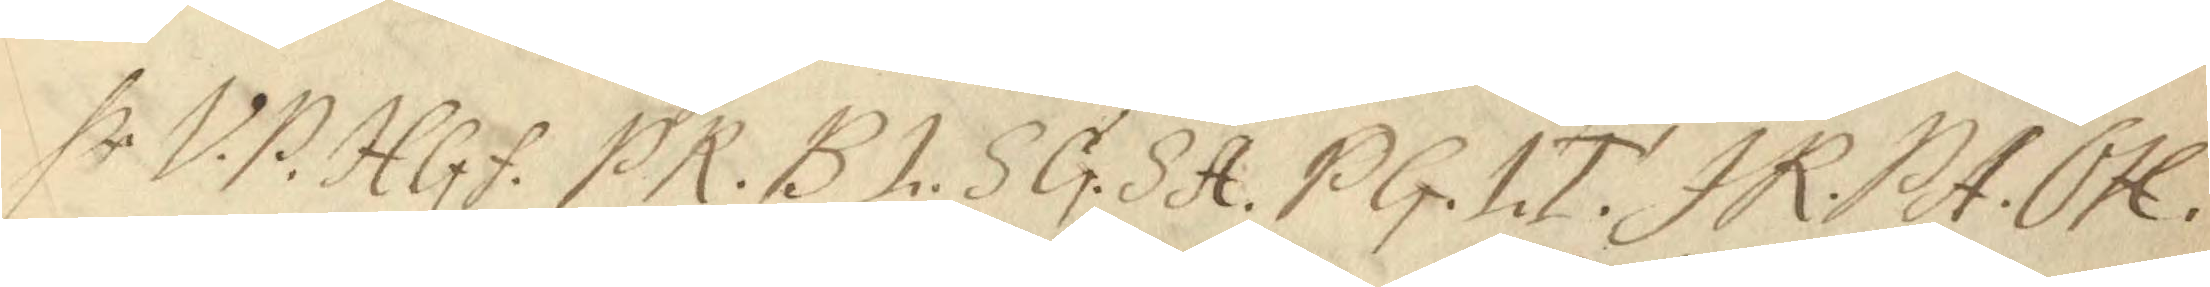hr V.P. HGf. PR. BL. SG. SA. PG. LT. JR. PA. OH. 
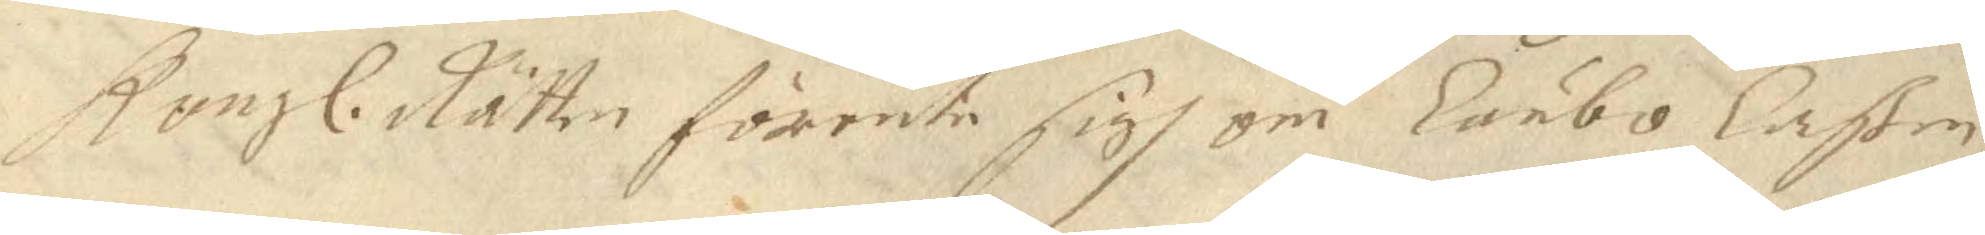Kongl. Rätten förente sigh om Lunbo Laßen 
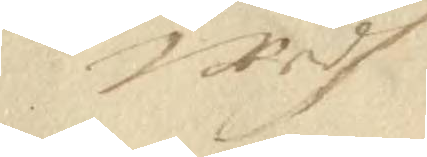wedh
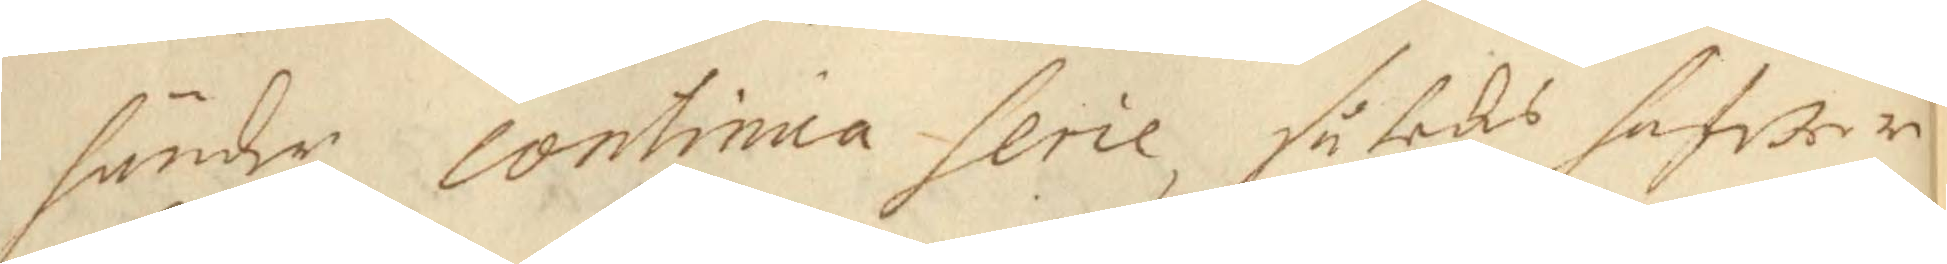händer Continua serie, således hafwer
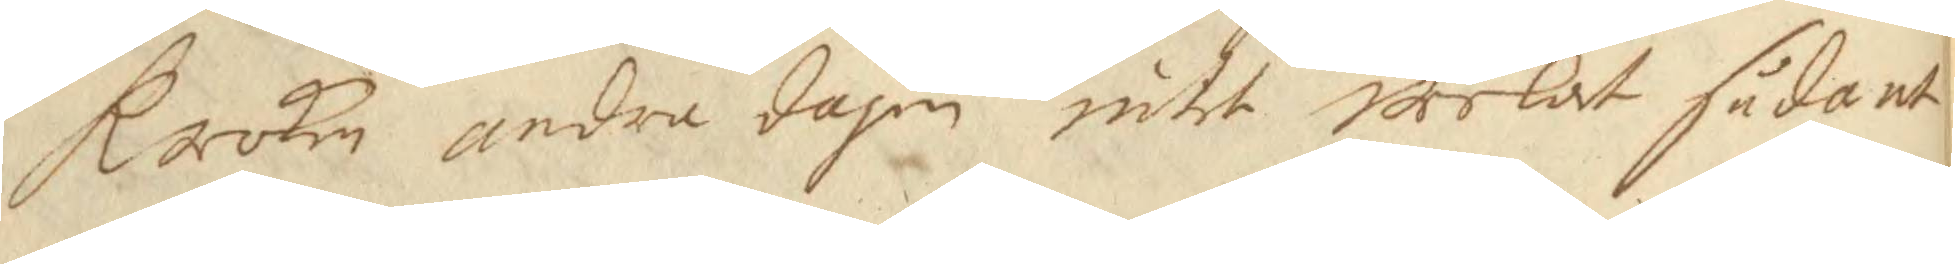Raoken andra dagen inte weelat sådant
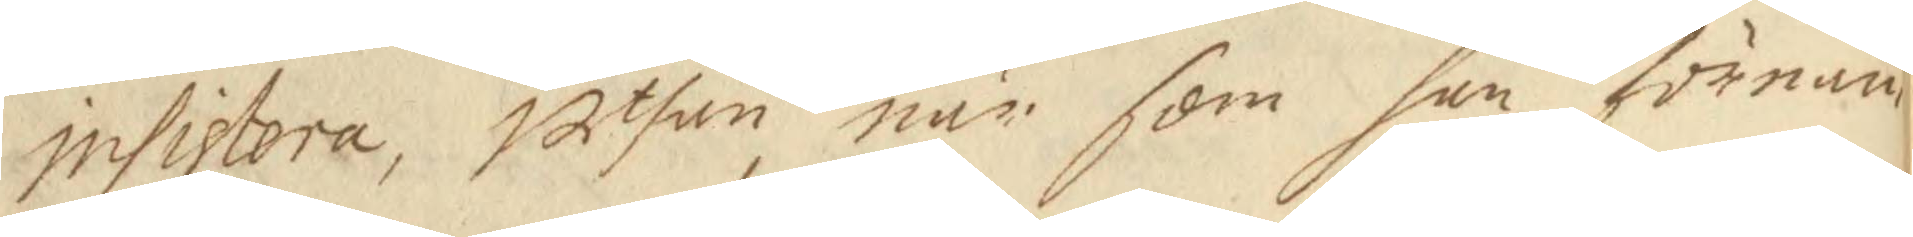insistera, uthan när som han förnam
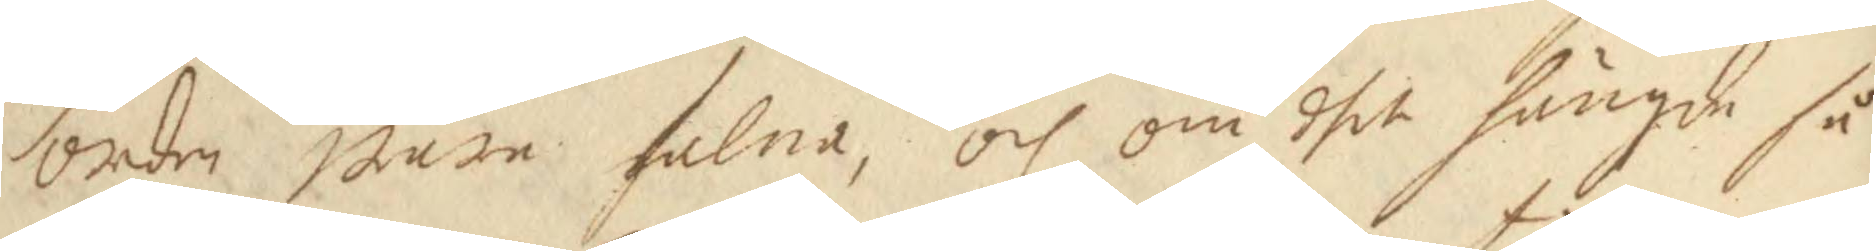orden ware falna, och om dhet hängde så
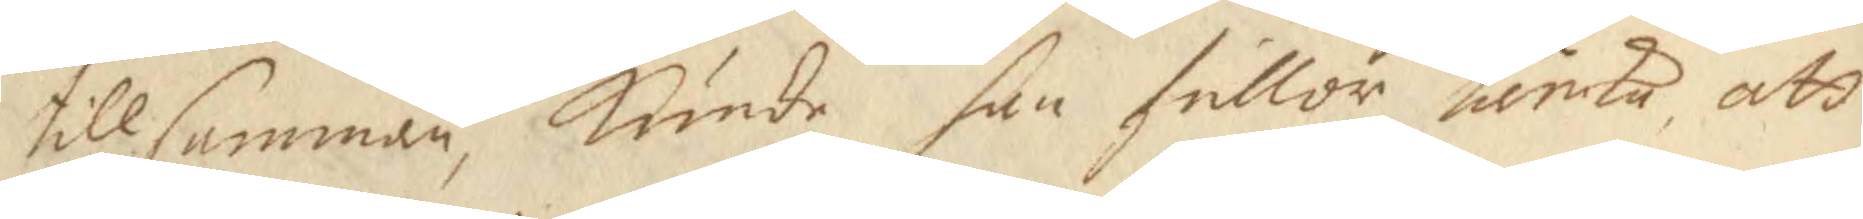tillsamman, Kunde han fullor tänka, att
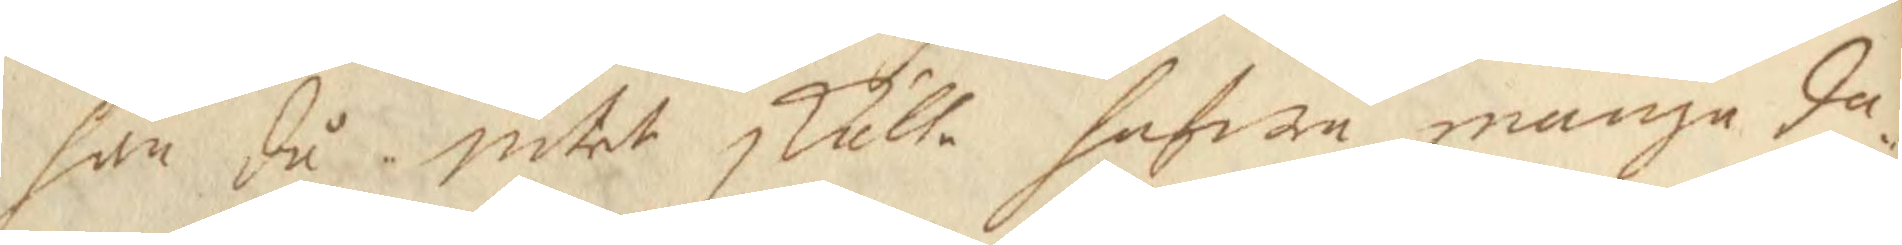han då intet skulle hafwa många da¬
